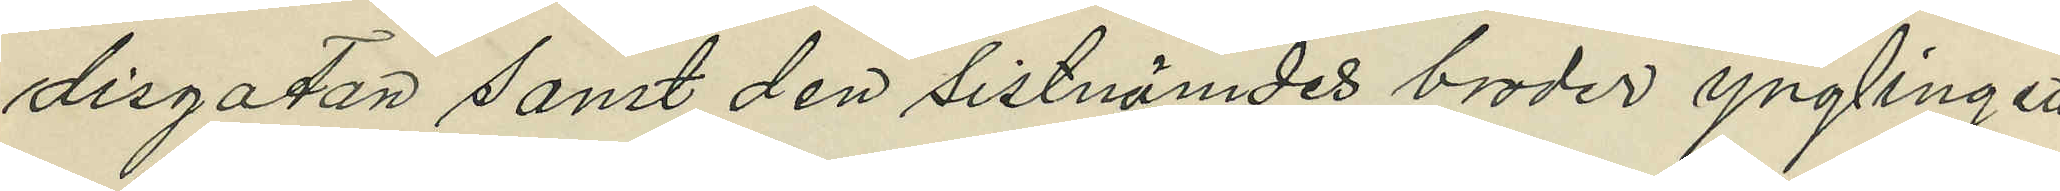disgatan samt den sistnämdes broder ynglingen
